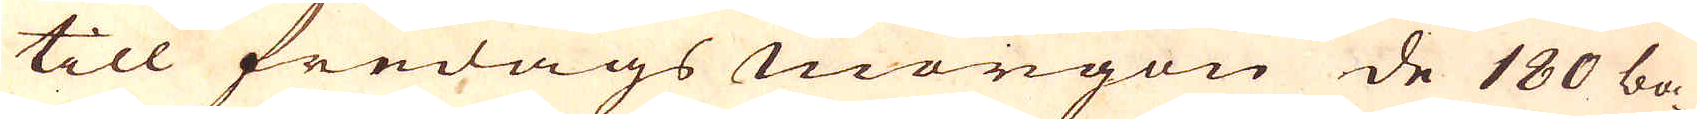till fredags morgon de 180 ba-
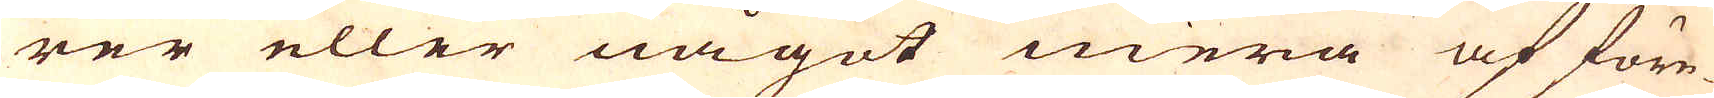rer eller något mera af före-
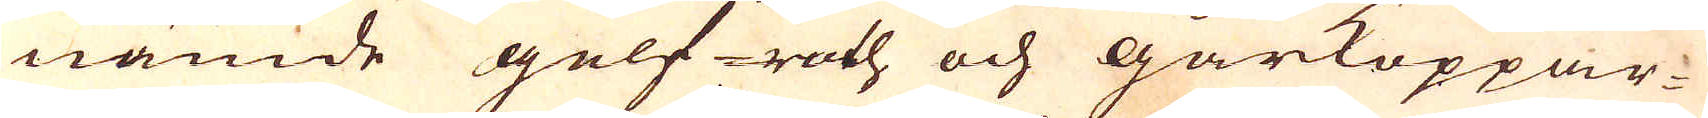nämde gelf- roth och gårkoppar-
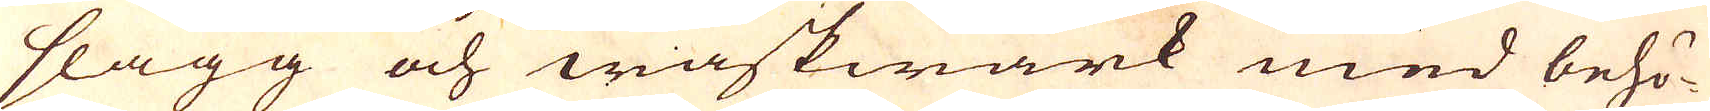slagg och waskwärk med behö-
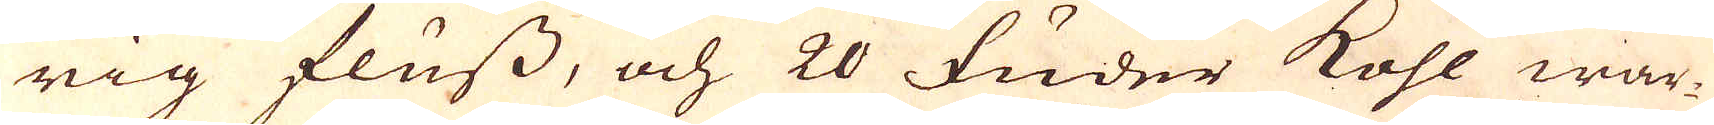rig fluss, och 20 fuder kohl war-
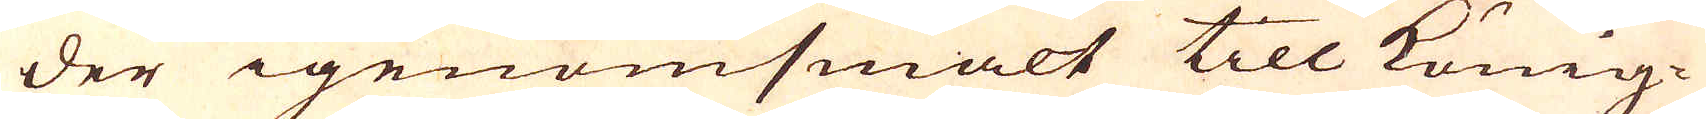der igenomsmält till könig-
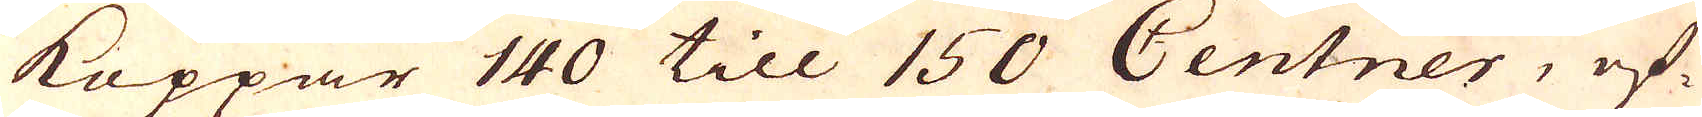Koppar 140 till 150 Centner, ef-
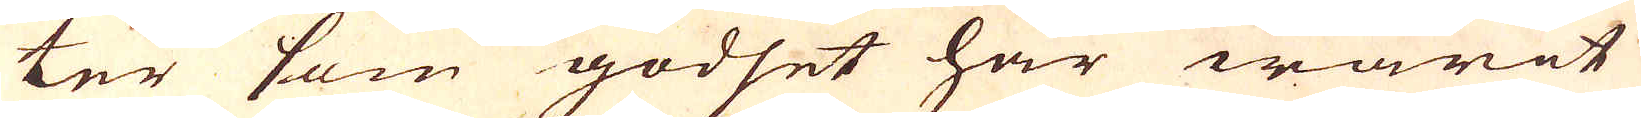ter som godset har warit
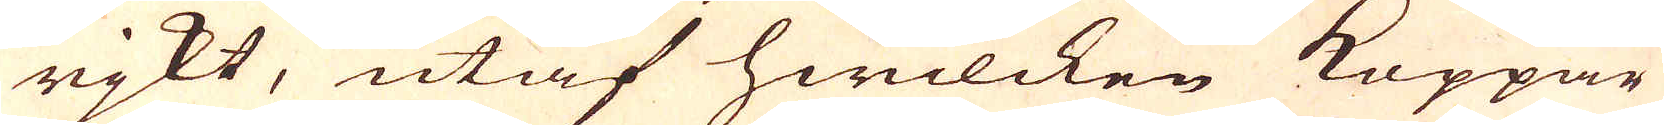rjkt, utaf hwilcken Koppar
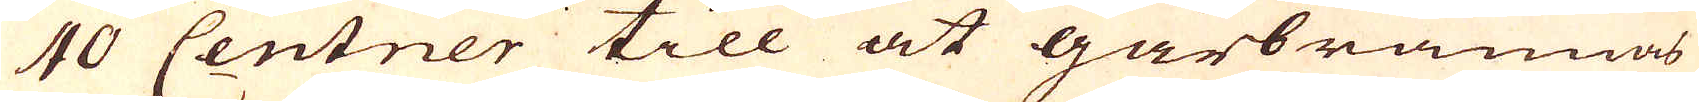40 Centner till at gårbrännas
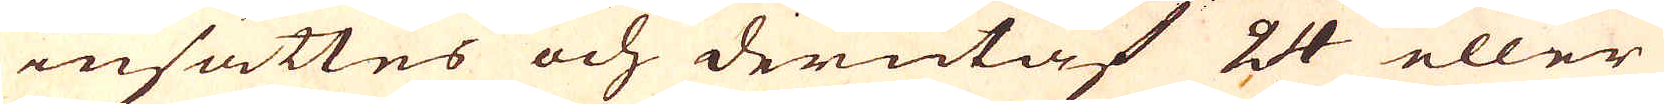insättes och derutaf 24 eller
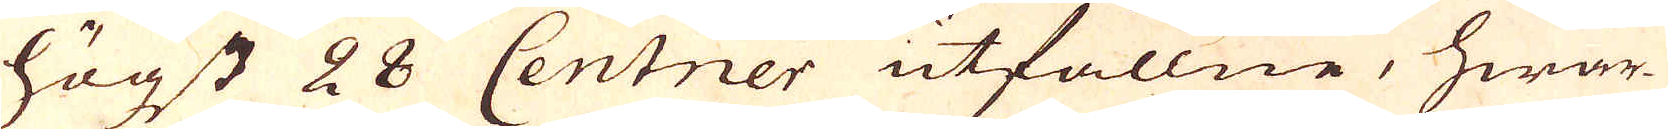högst 28 Centner utfallne, hwar-
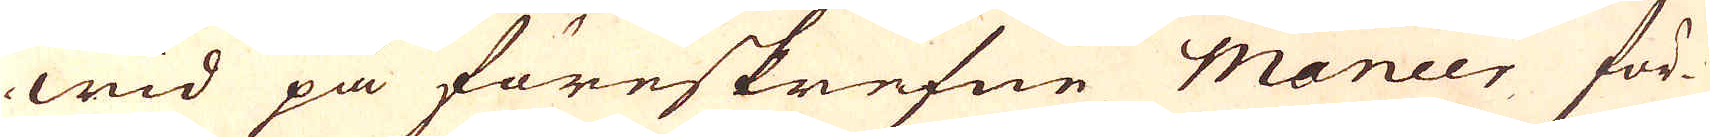wid på föreskrefne maneer för-
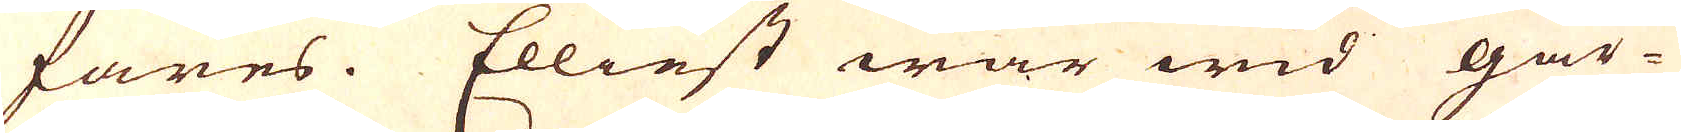fares. Elliest war wid går-
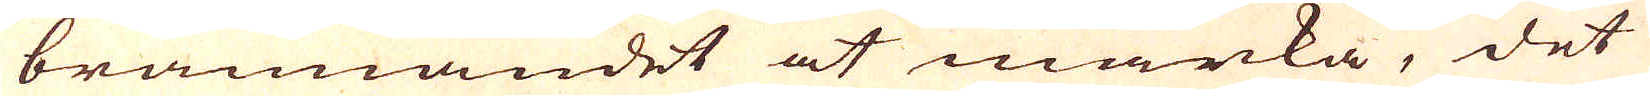brännandet at märka, det
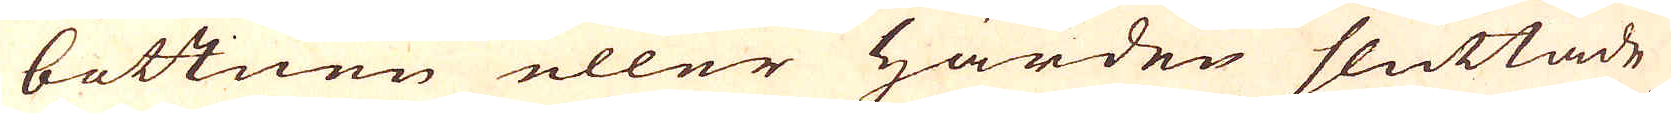bottnen eller Härden sluttade
